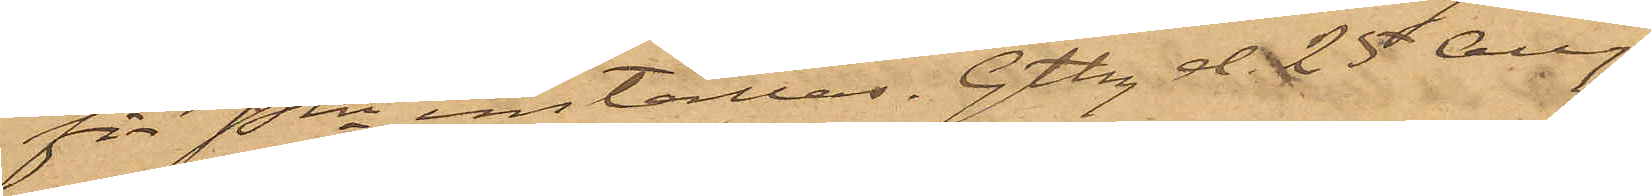för Pkn inställas. Gtbg d. 25 Aug.
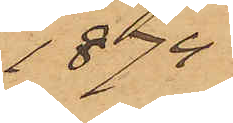1874
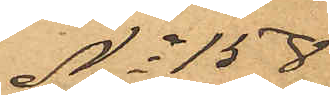No 158
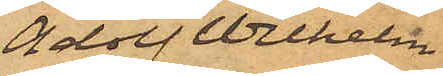Adolf Wilhelm
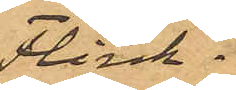Flink
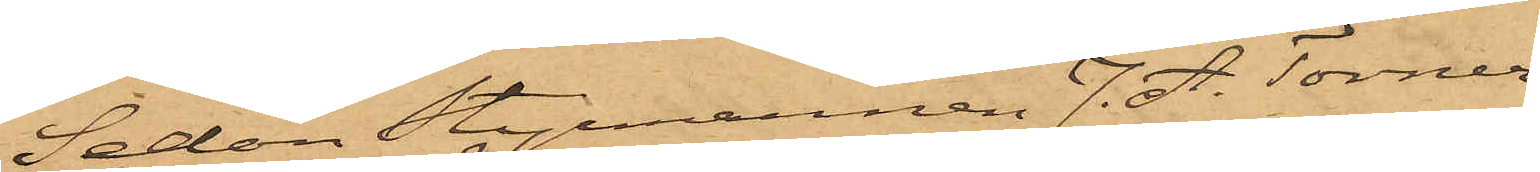Sedan Styrmannen J. A. Torner¬
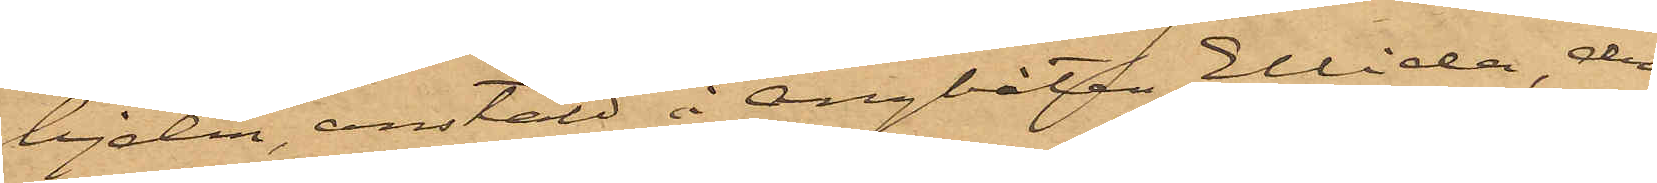ljelm, anstäld å Ångbåten Ellida, den
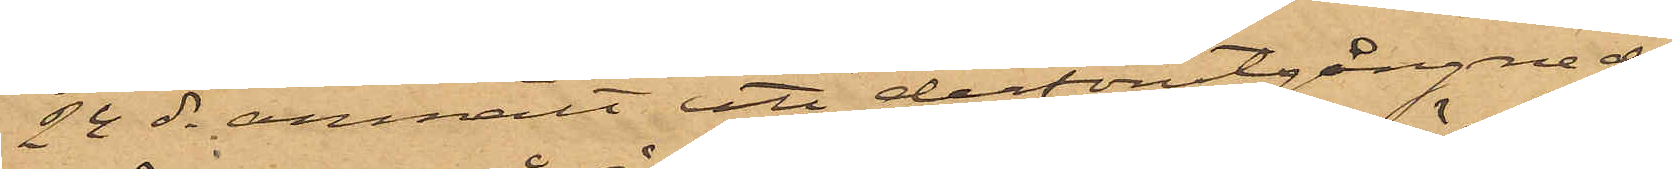24 ds anmält att derförutgångne dag
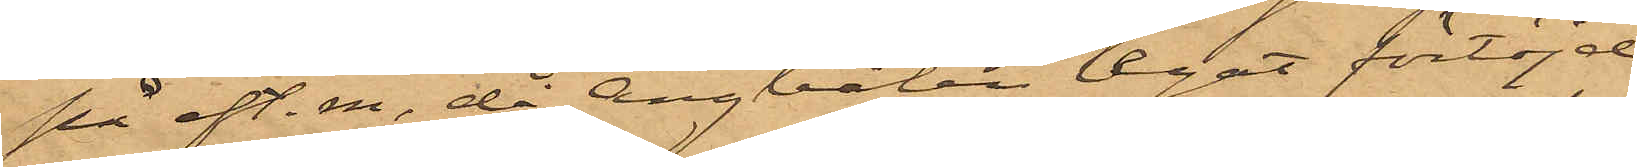på eft. m. då Ångbåtan legat förtöjd
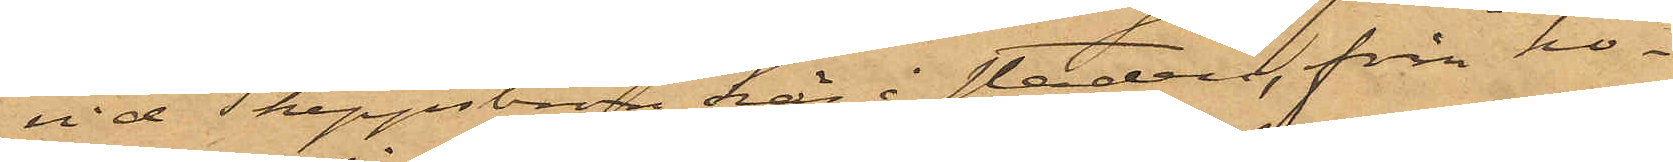vid Skeppsbron här i staden, från ho¬
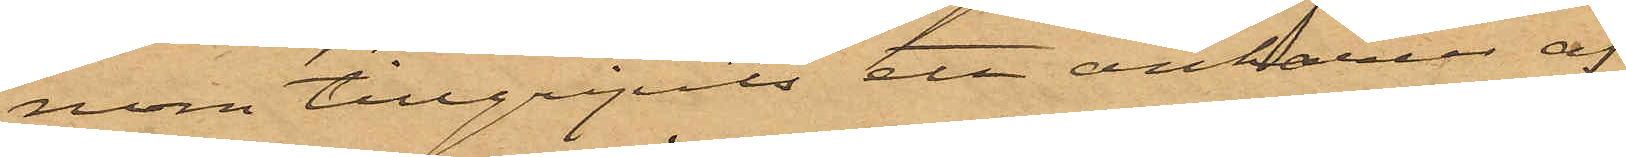nom tillgripits ett ankarur af
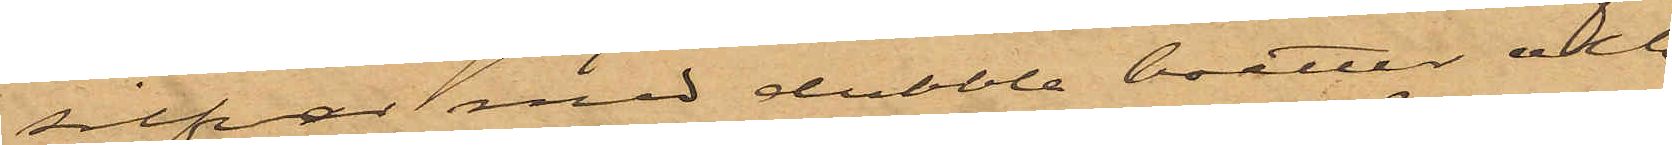silfver med dubbla boetter och
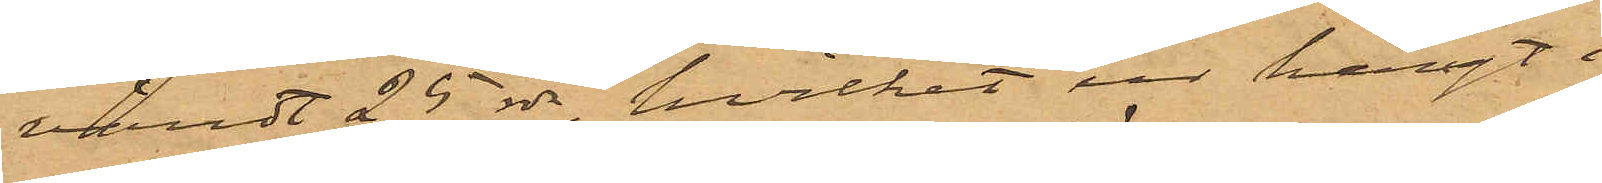värdt 25 rdr, hvilket ur hängt i
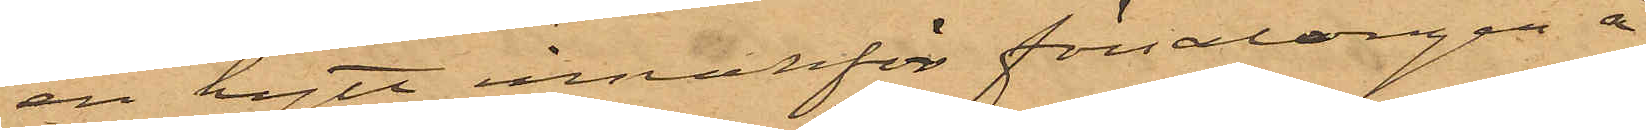en hytt innanför försalongen å
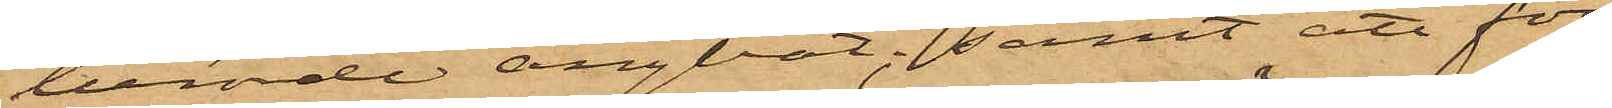berörde ångbåt; samt att för
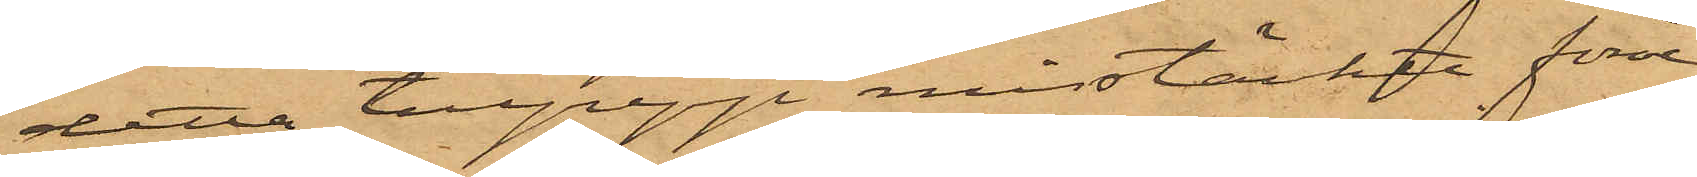detta tillgrepp misstänkte förre
